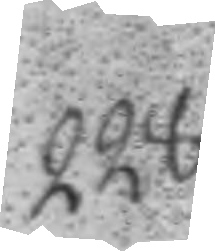228.
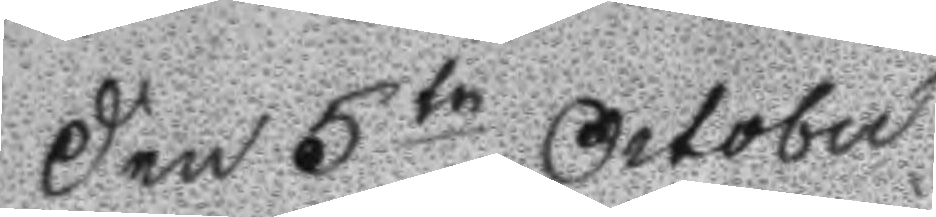Den 5te October
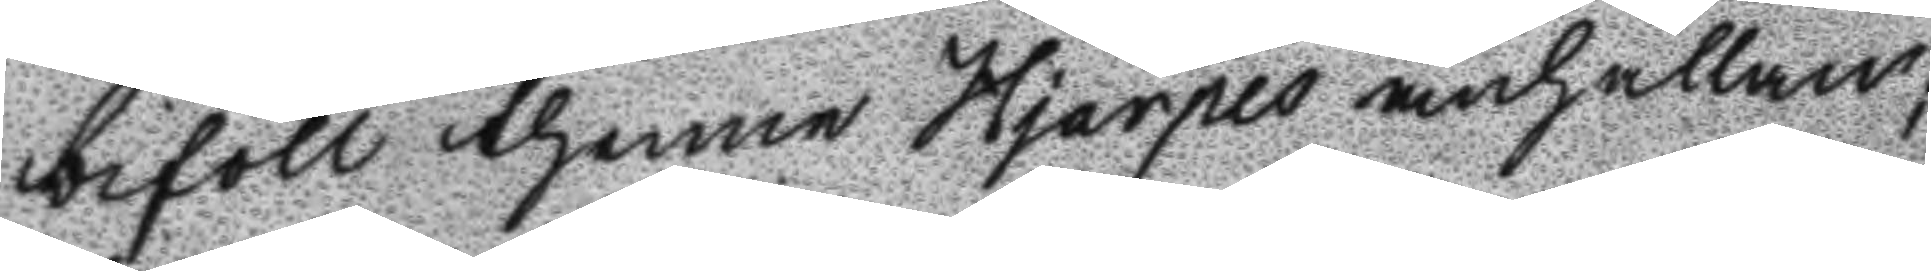biföll thenne Hjärpes anhållan;
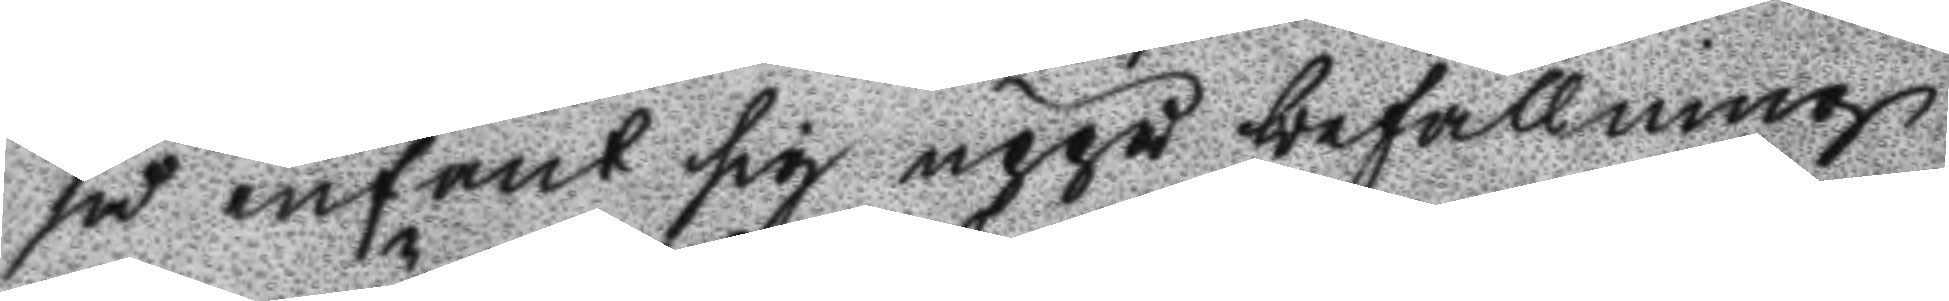å infant sig uppå befallning
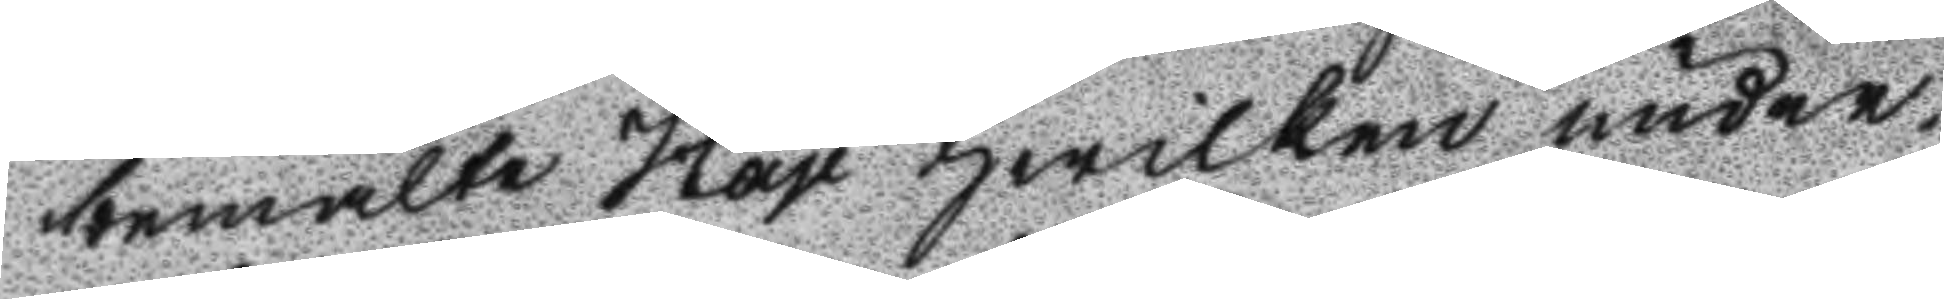bemälte Hay hwilken under¬
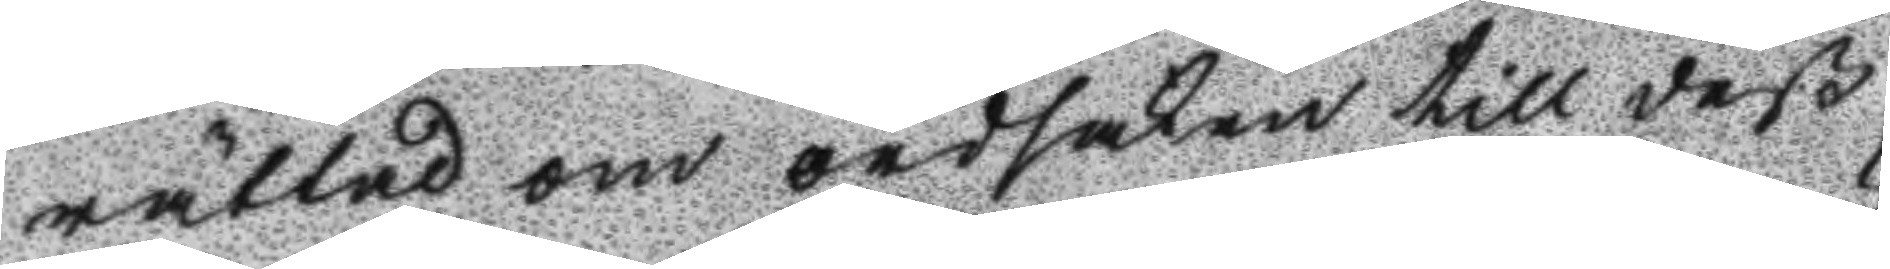rättad om ordsaken till deß
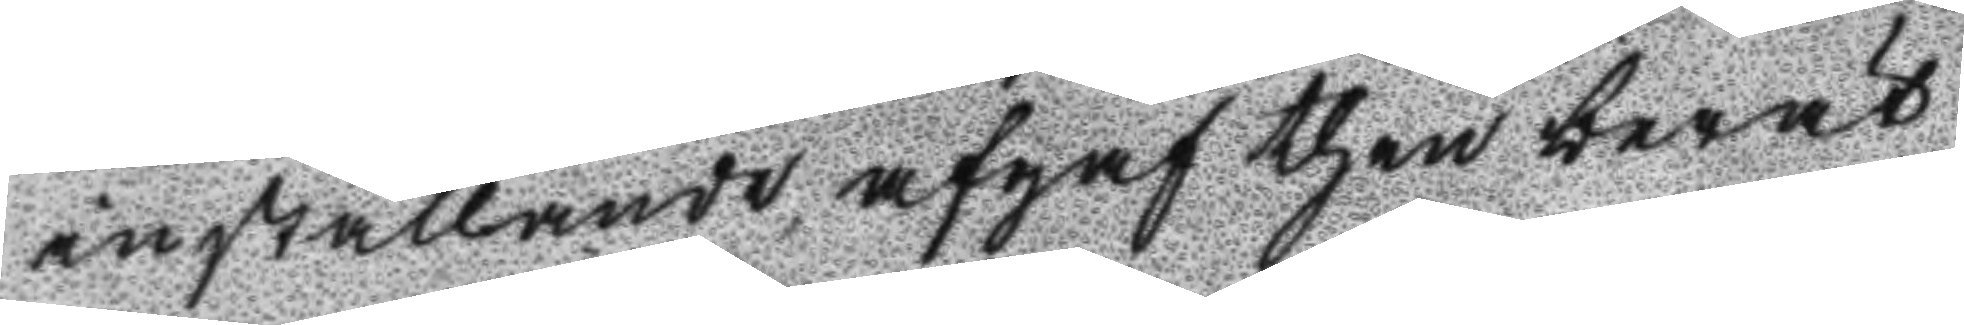inställande afgaf then berät
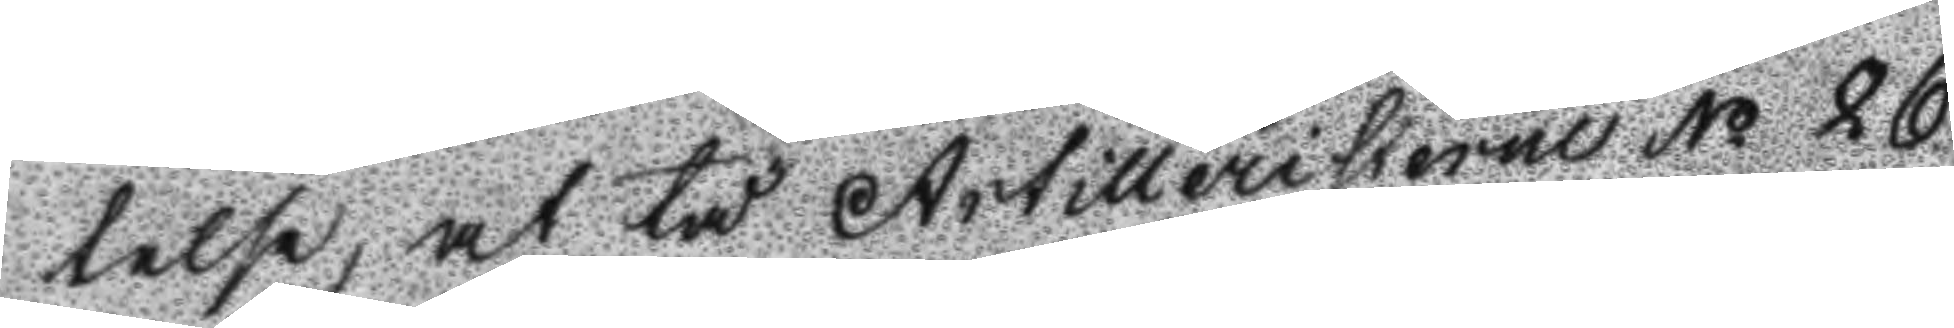telse, at tå Artillersiterne No 26
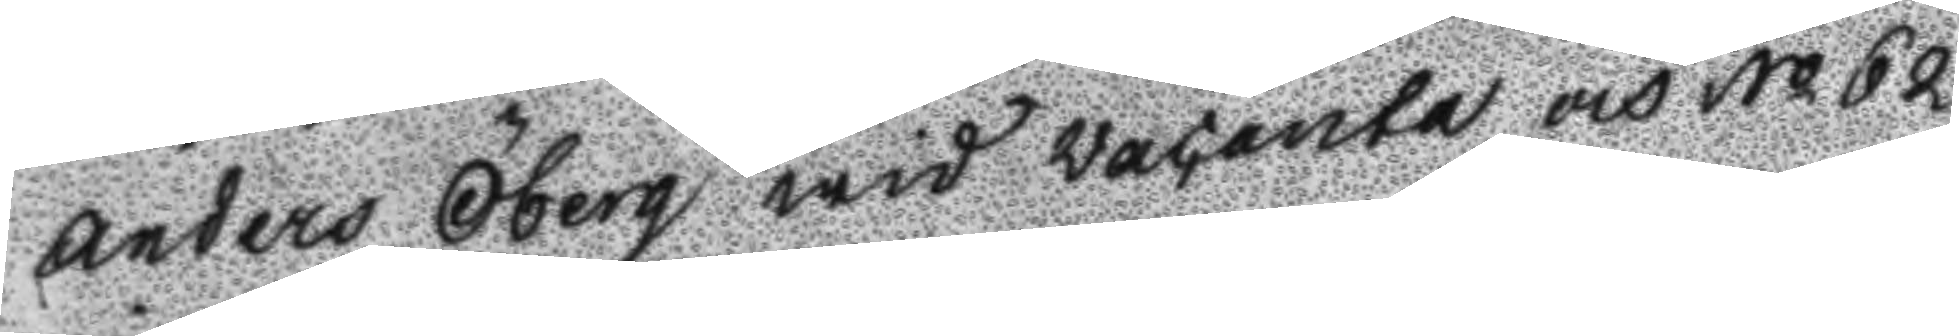Anders Öberg wid Wacante och No 62
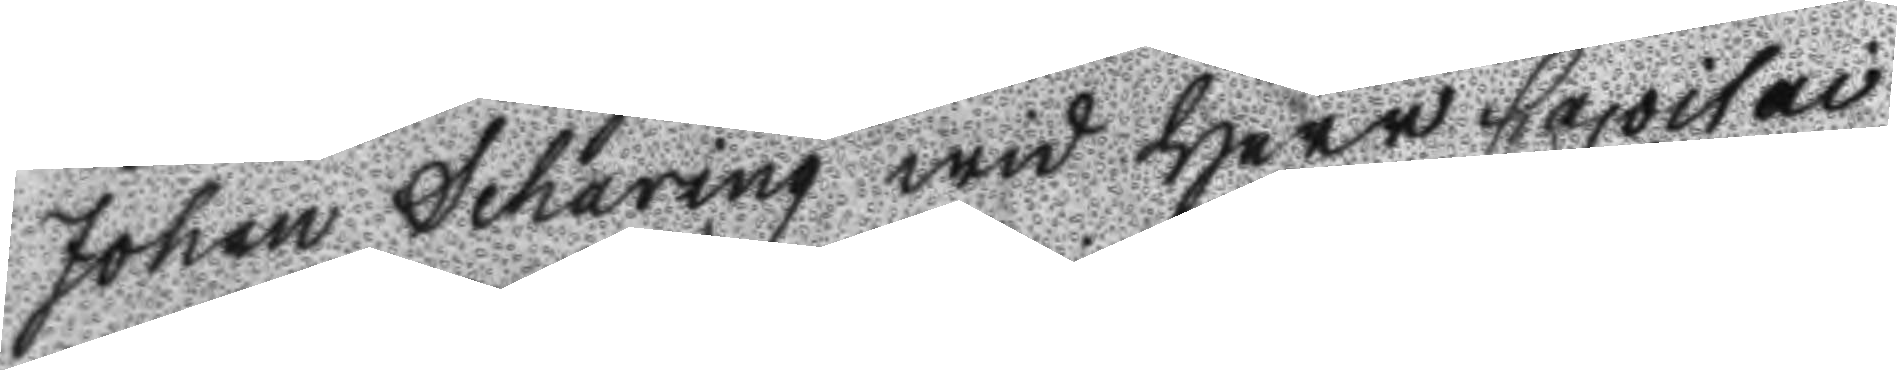Johan Scharing wid Herr Capitai
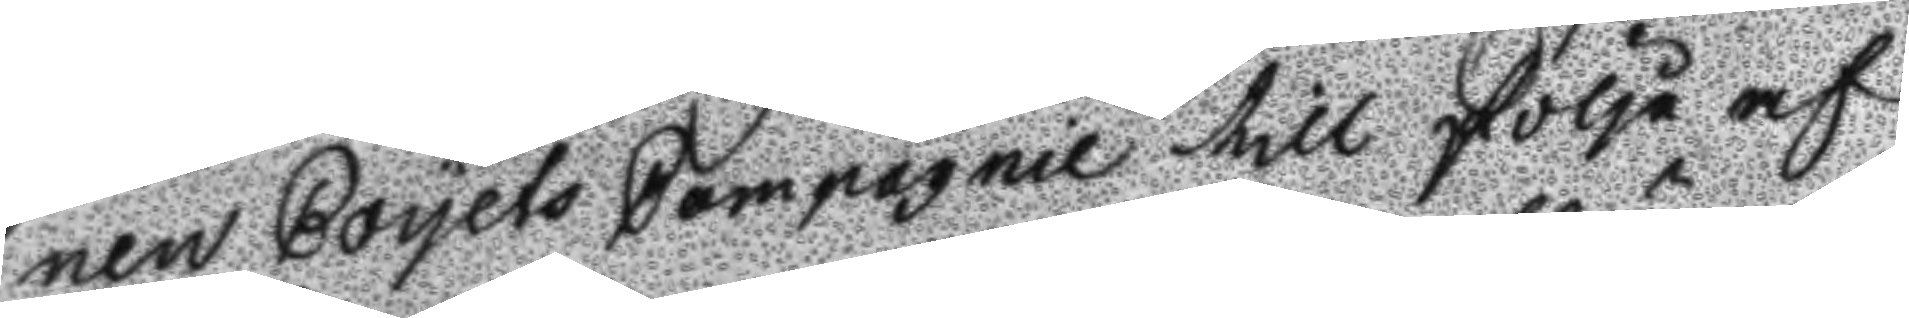nen Coyets Compagnie till följe af
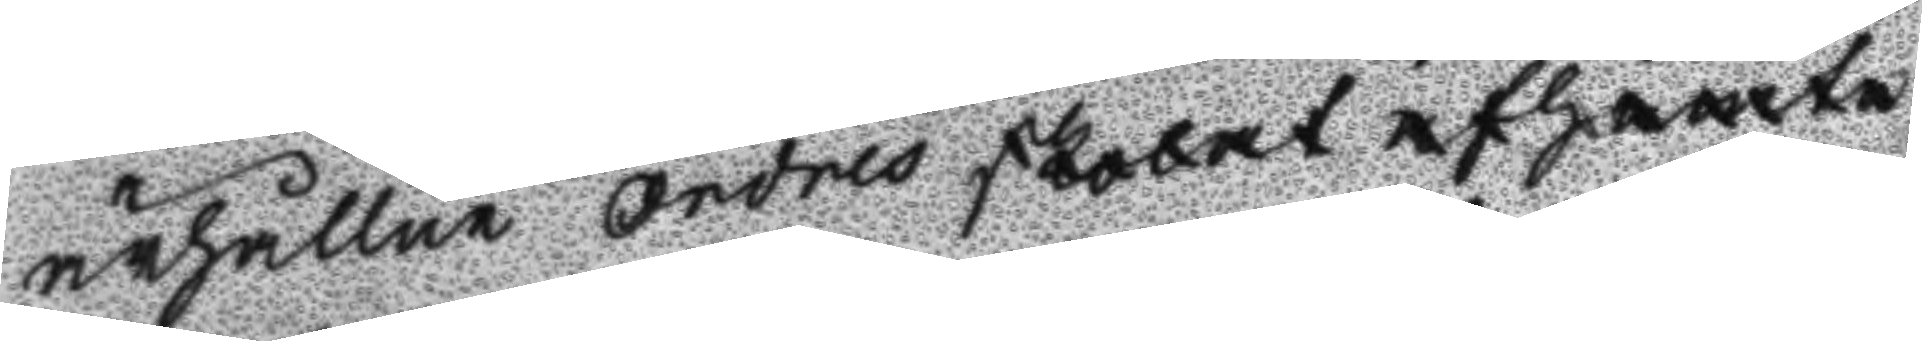ärhållne Ordres skolat afhämta
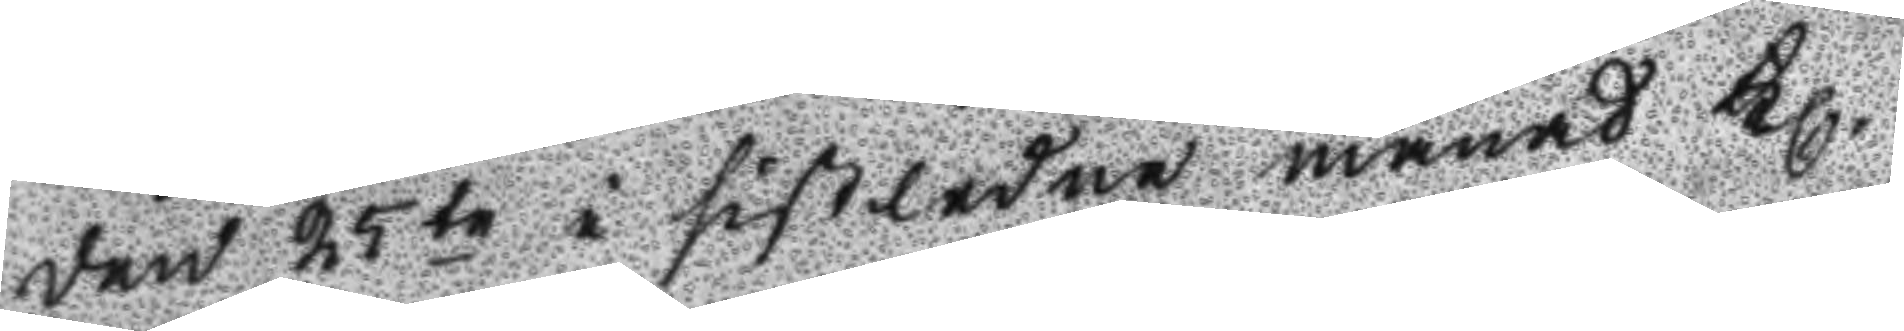den 25te i sistledne månad Kl.
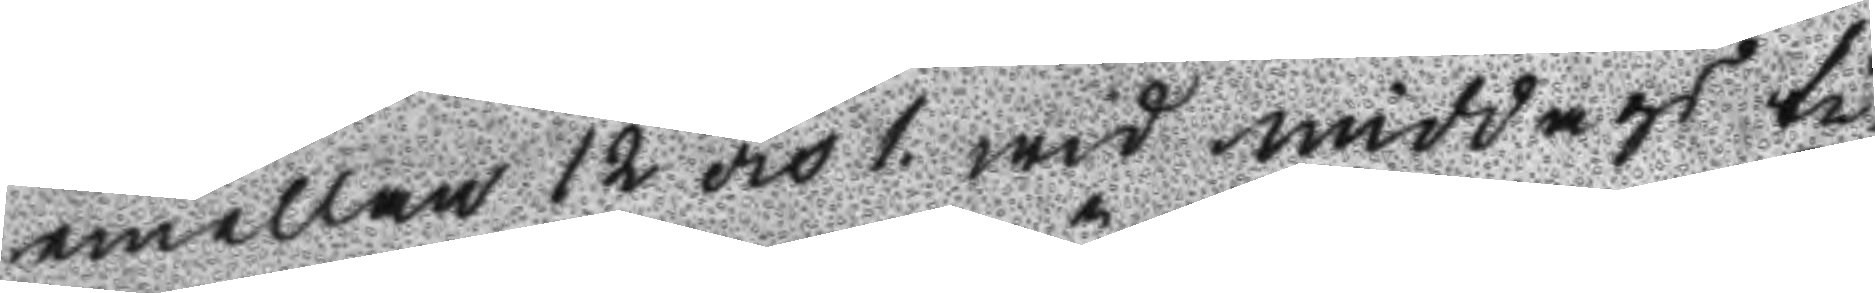emellan 12 och 1 wid middags ti¬
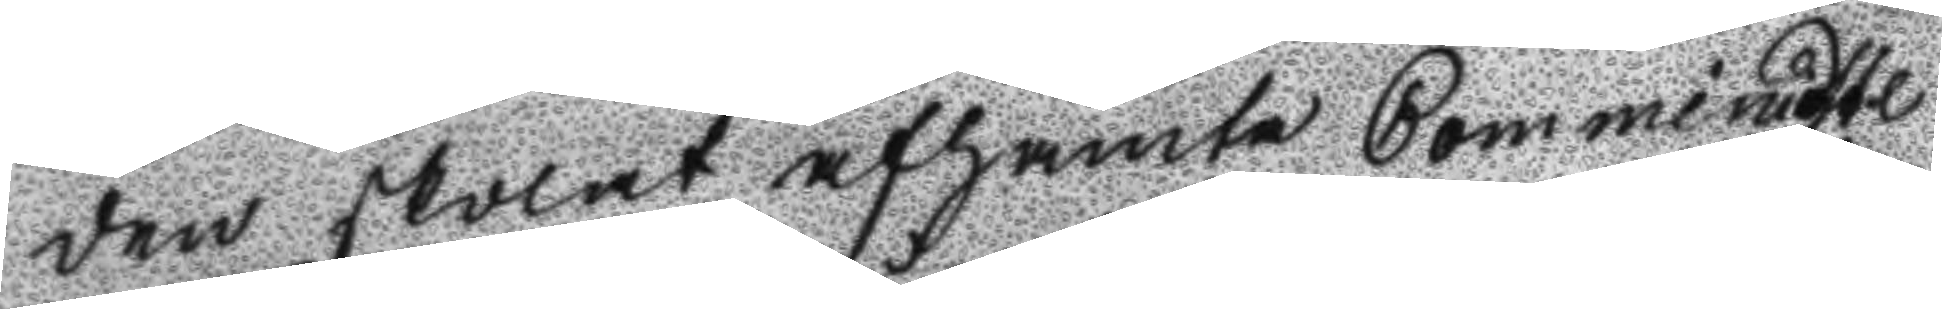den skolat afhämta Comministe
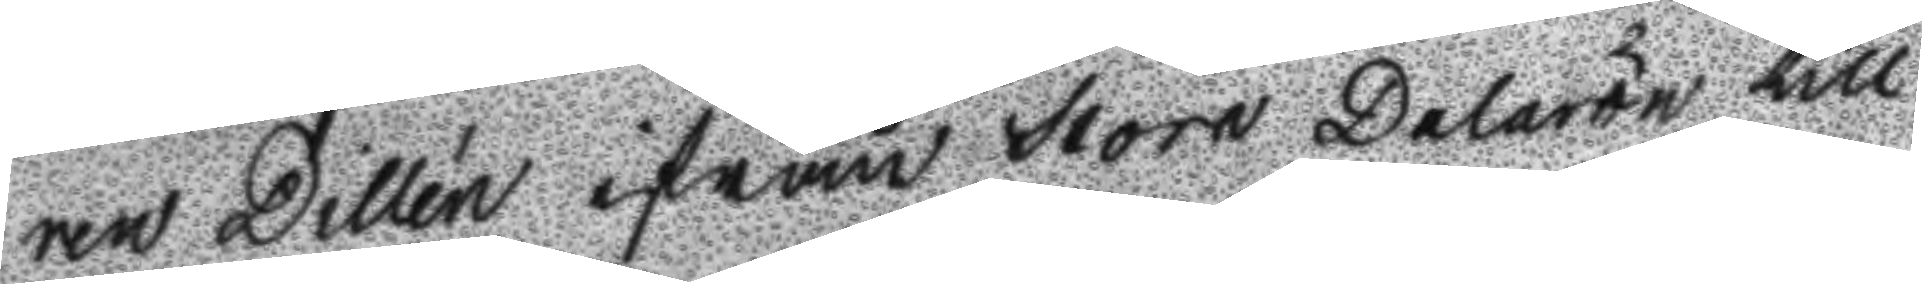ren Dillén ifrån Stora Dalarön till
